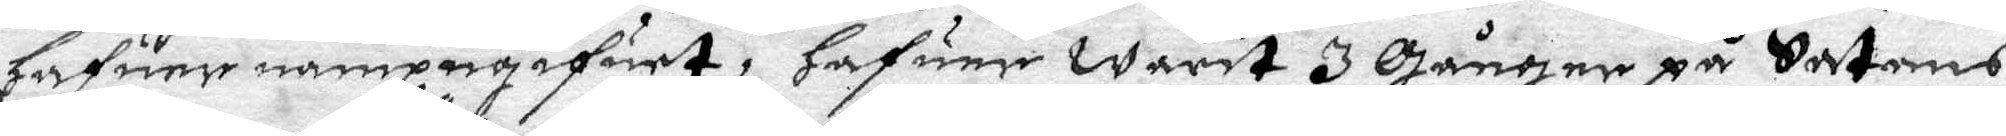haufer nampngifuet, hafuer warit 3 Gånger på Sathans
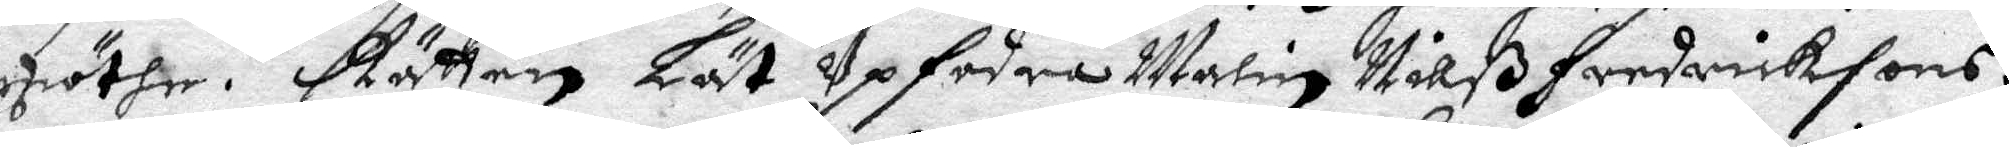möthe. Rätten Lät Upfodra Malin Nilß Fredriksons
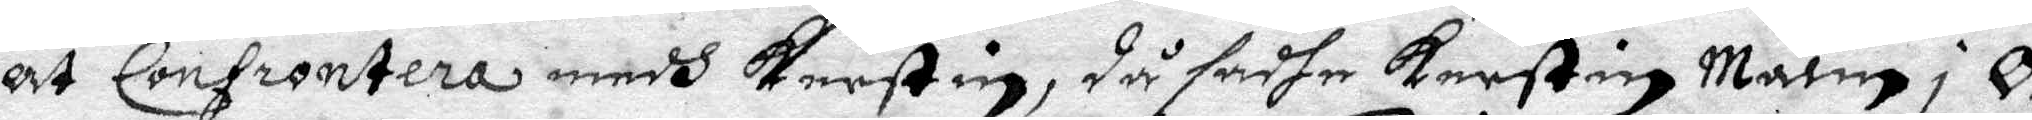at Confrontera medh Kerstin, då sadhe Kerstin Malin i Ö¬
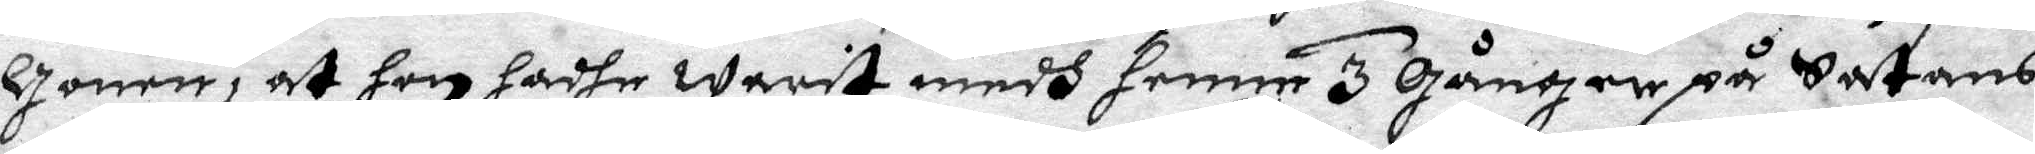gonen, at hon hadhe warit medh henne 3 Gånger på Satans
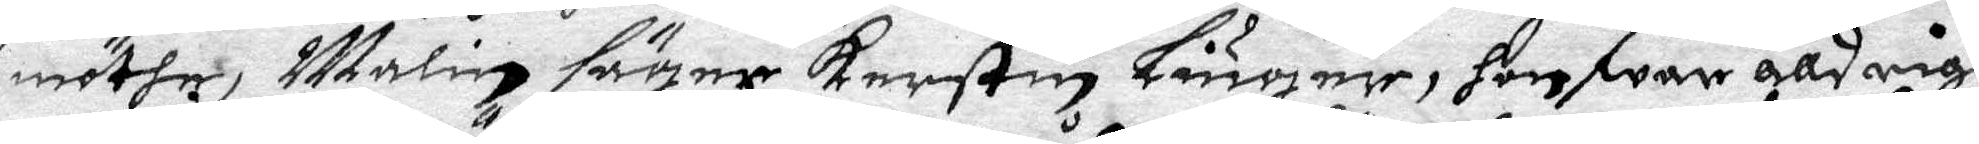möthe, Malin säger Kerstin Liuger, hon war alldrigh
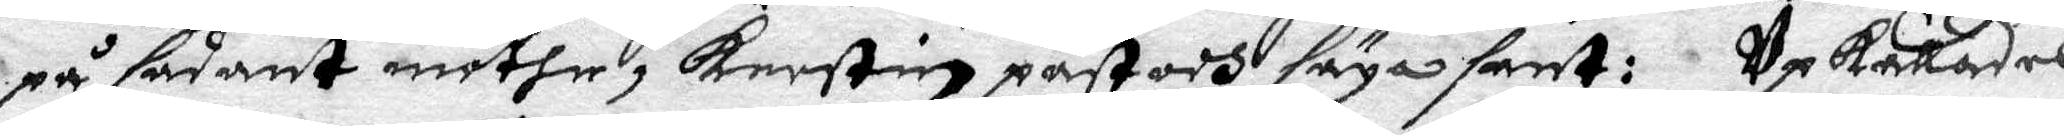på sådant möthe, Kerstin påstodh säga sant; Upkallades
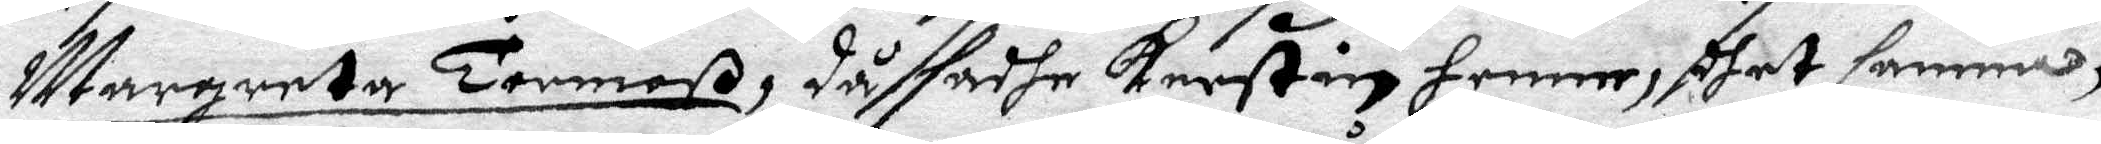Margareta Tormoß, då sadhe Kerstin henne, dhet samma,
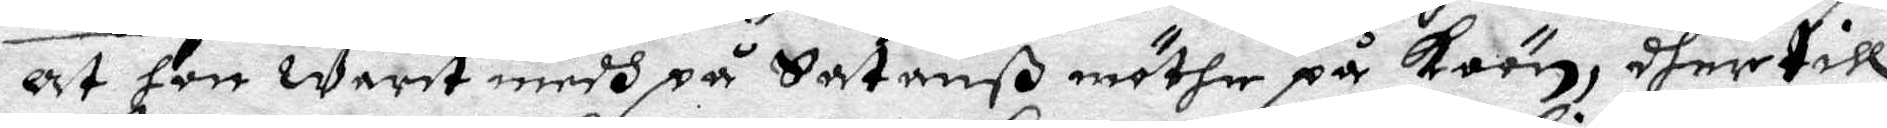at hon warit medh på Sathanß möthe på Koön, dher till
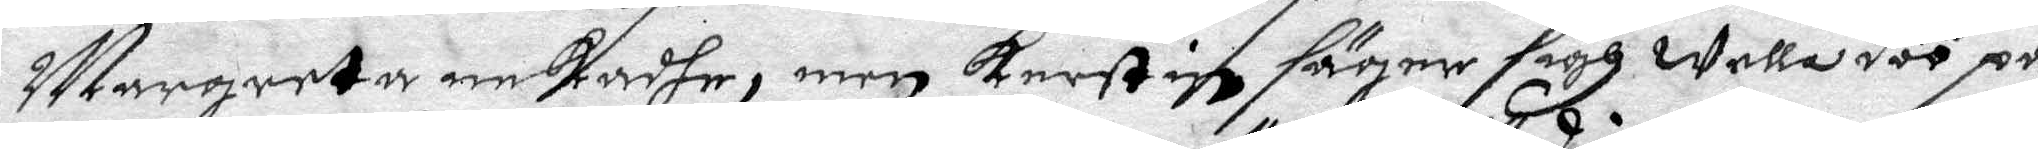Margareta nekadhe, men Kerstin säger sigh wella döö på
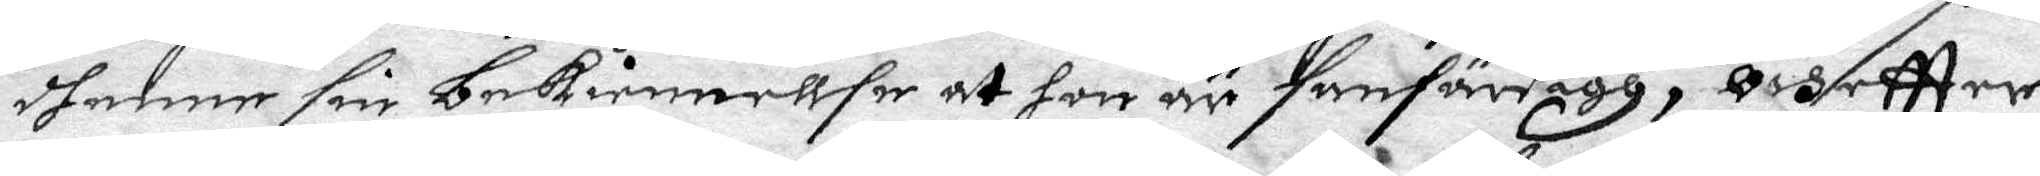henne sin bekiennellse at hon är sanfärdigh, och eftter
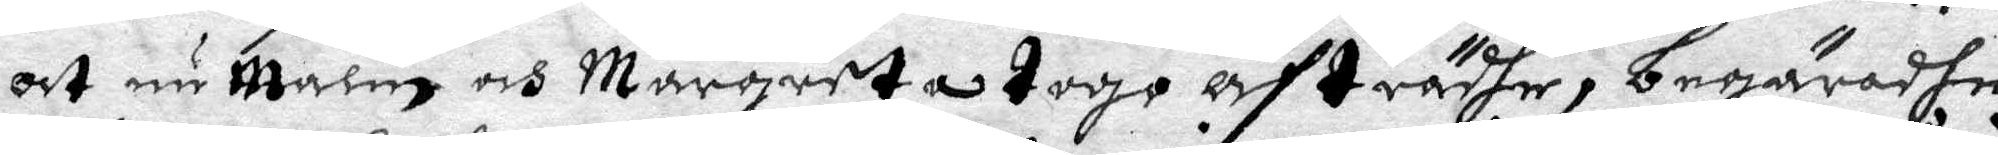at nu Malin och Margareta togo afträdhe, begäradhe
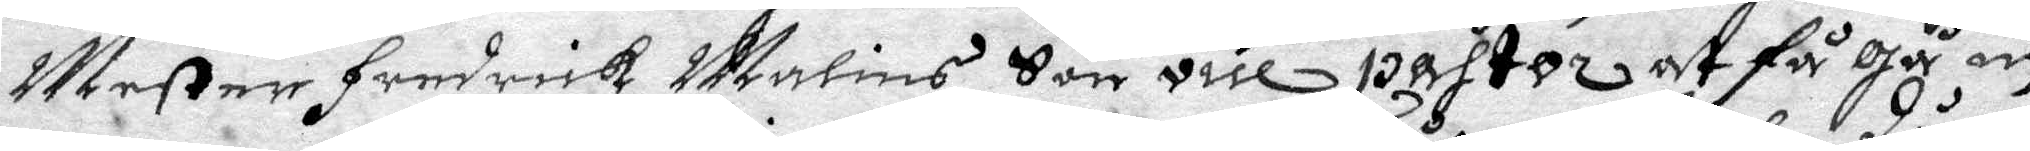Mester Fredrick Malins Son vice pastor at få gå in 
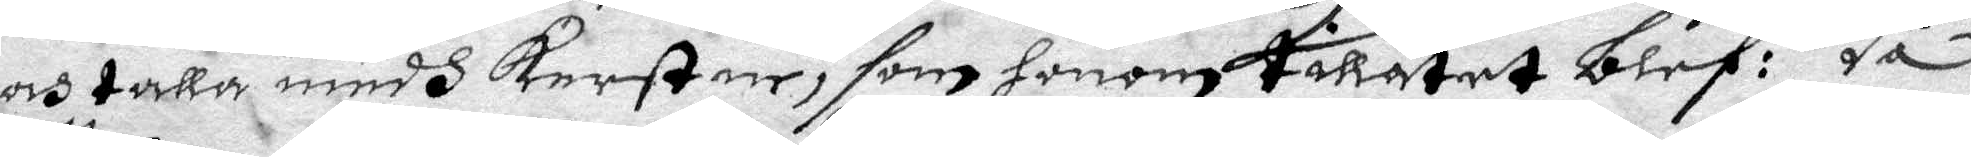och talla medh Kerstin, som honom tillåtet blef: då
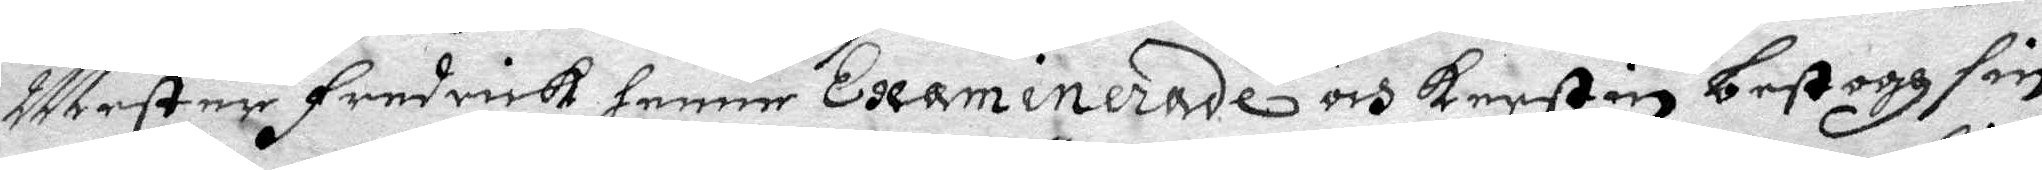Mester Fredrick henne Examinerade och Kerstin bestogg sin
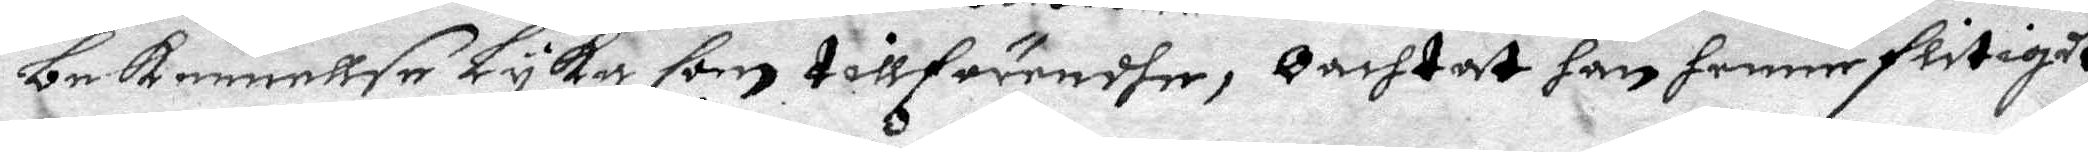bekennellse Lyka som tillförendhe, Oachtat han henne flitigit
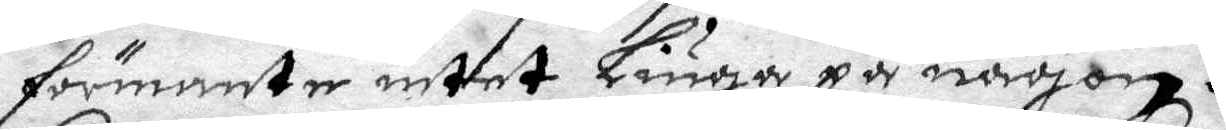förmante intet Liuga på någon.
